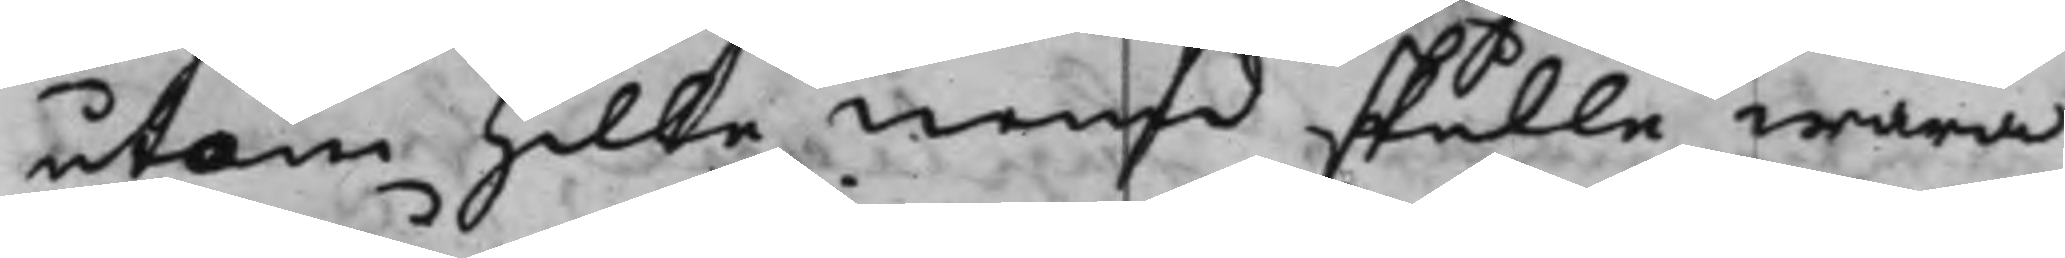utom Hille nemd skulle wara
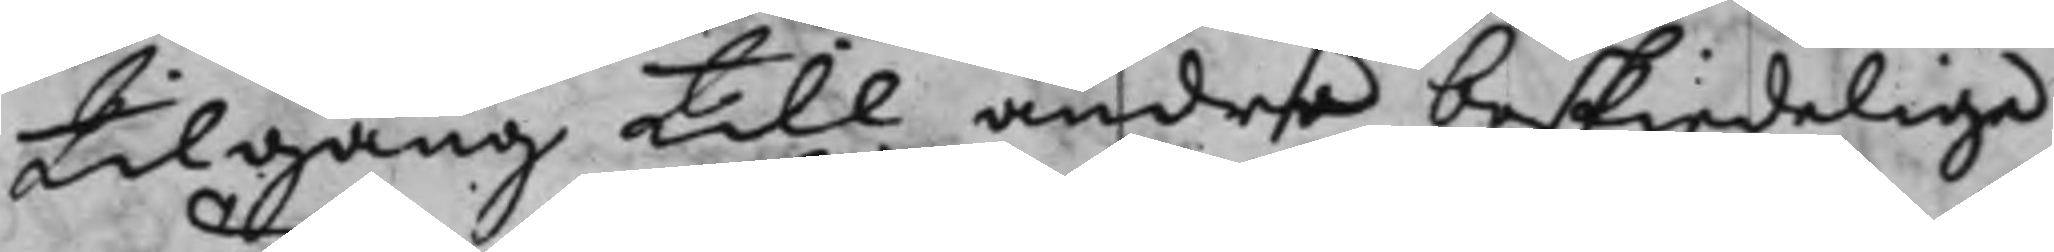tilgång till andra beskiedeliga
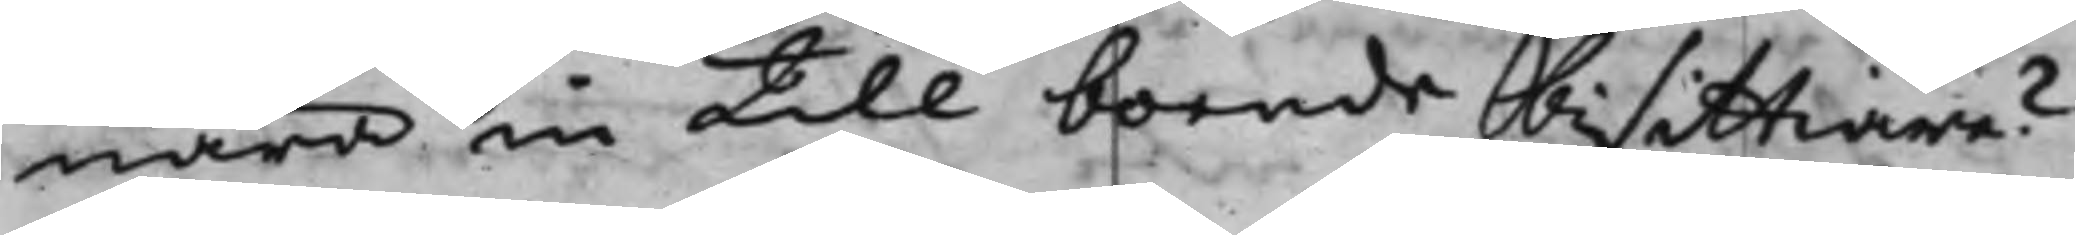nära in till boende bisittiare?
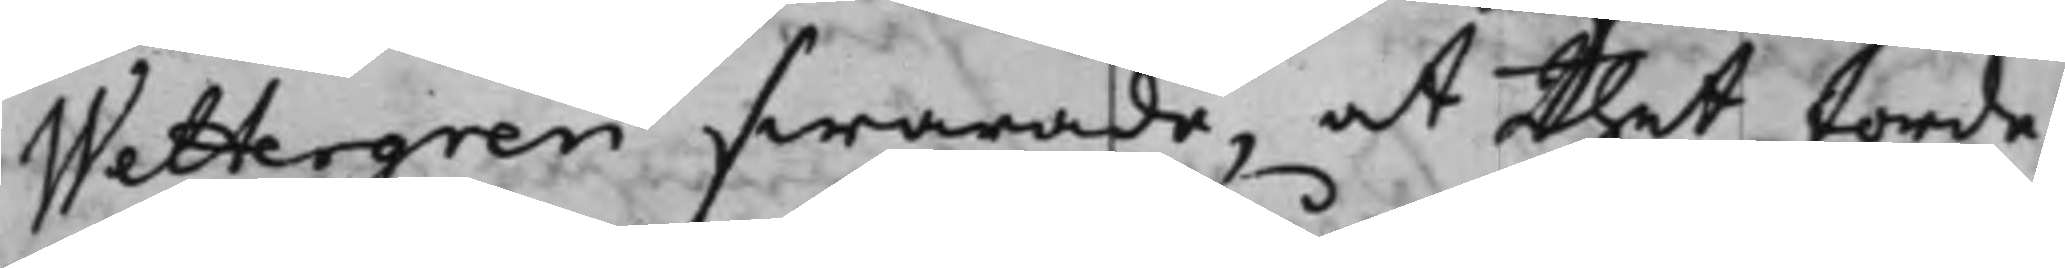Wettergren swarade, at thet torde
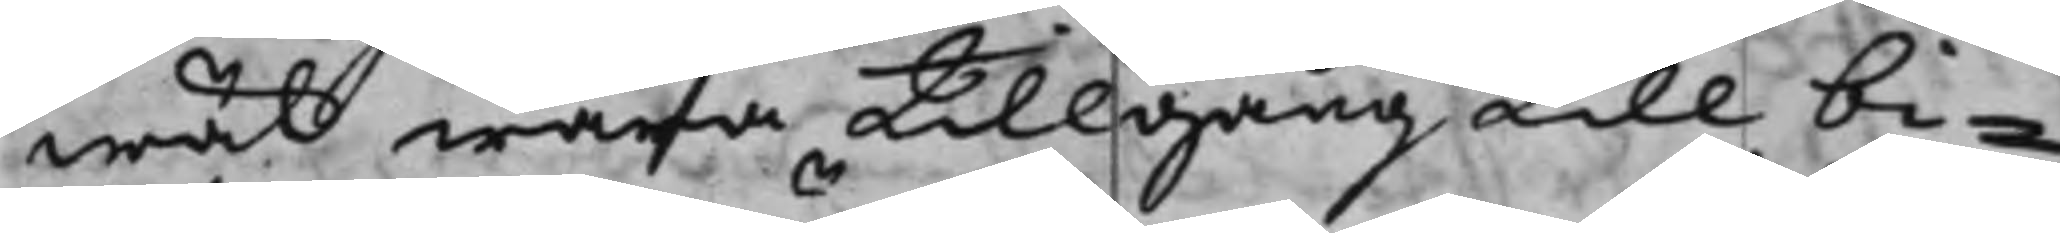wäl wara tillgång till bi¬
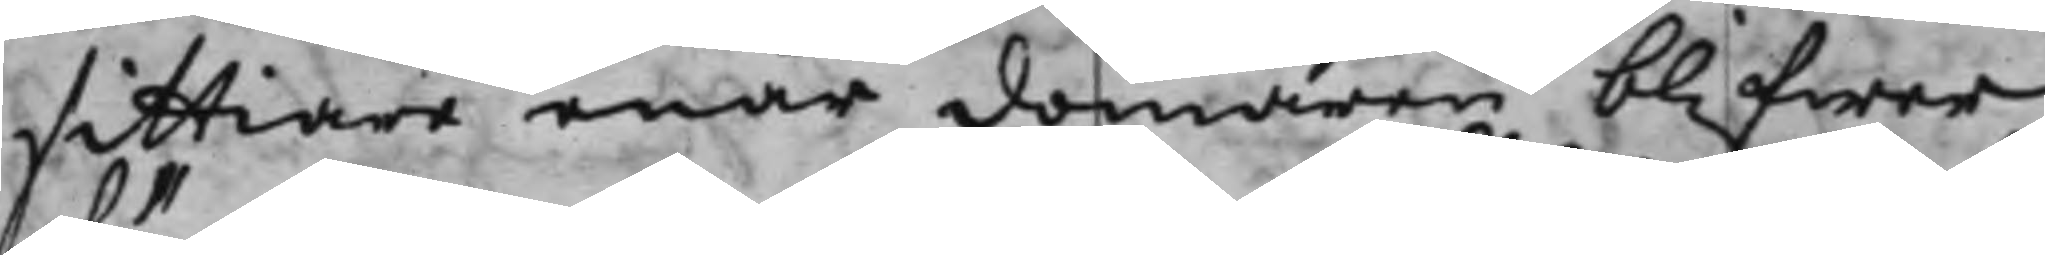sittiare enär domaren blifwer
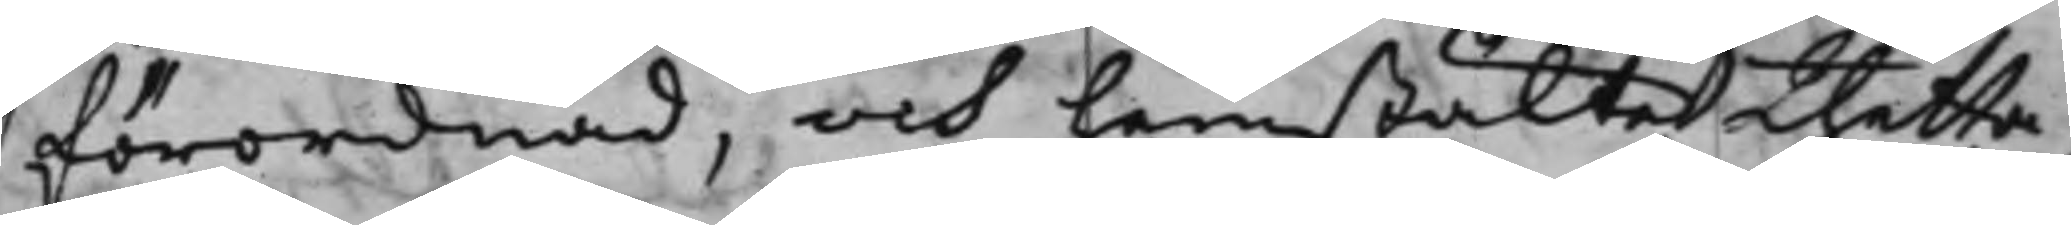förordnad, och hemstälte thetta
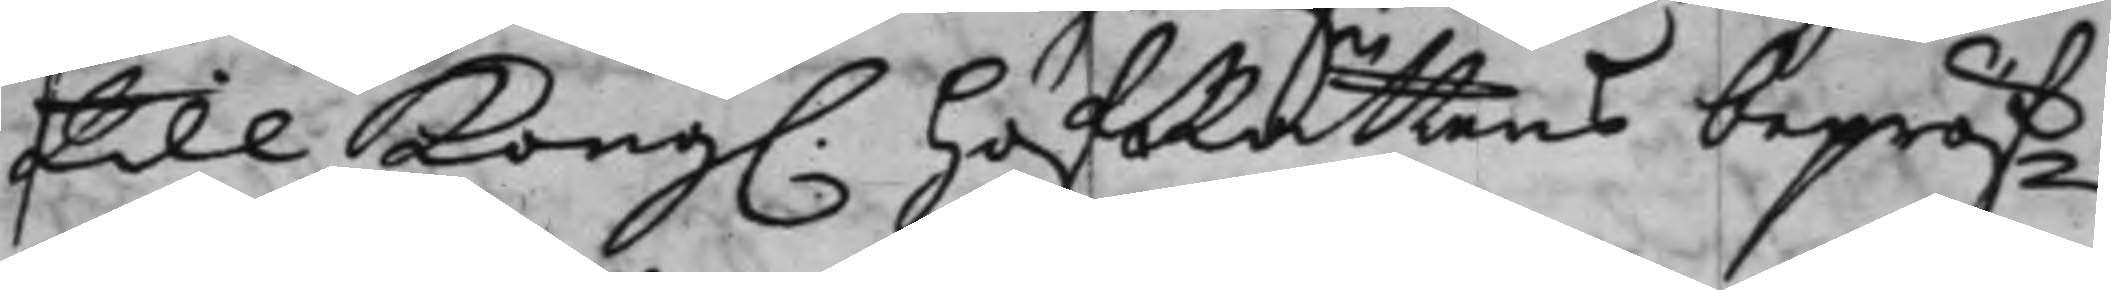till Kong. HofRättens bepröf¬
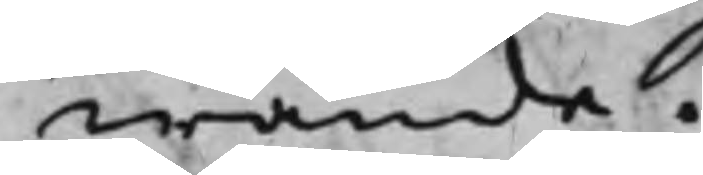wande.
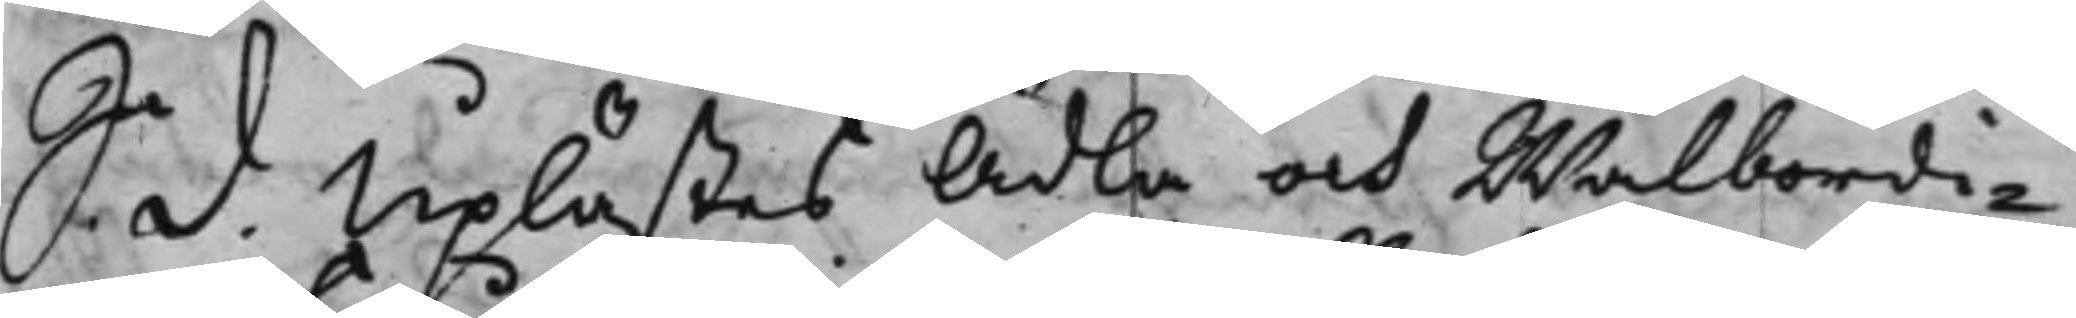S. d. Uplästes Ädla och Wälbördi¬
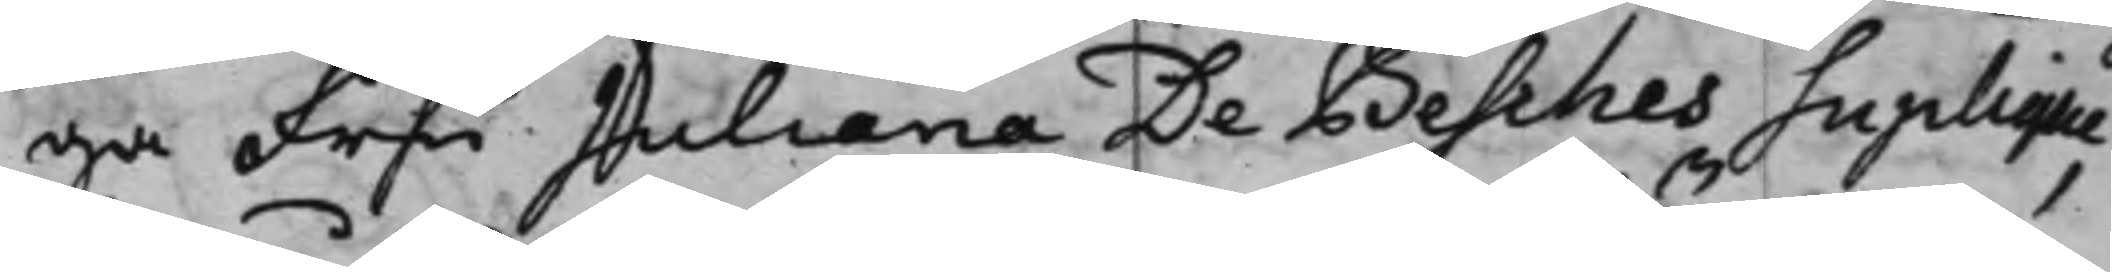ga Fru Juliana De Besches Suplique,
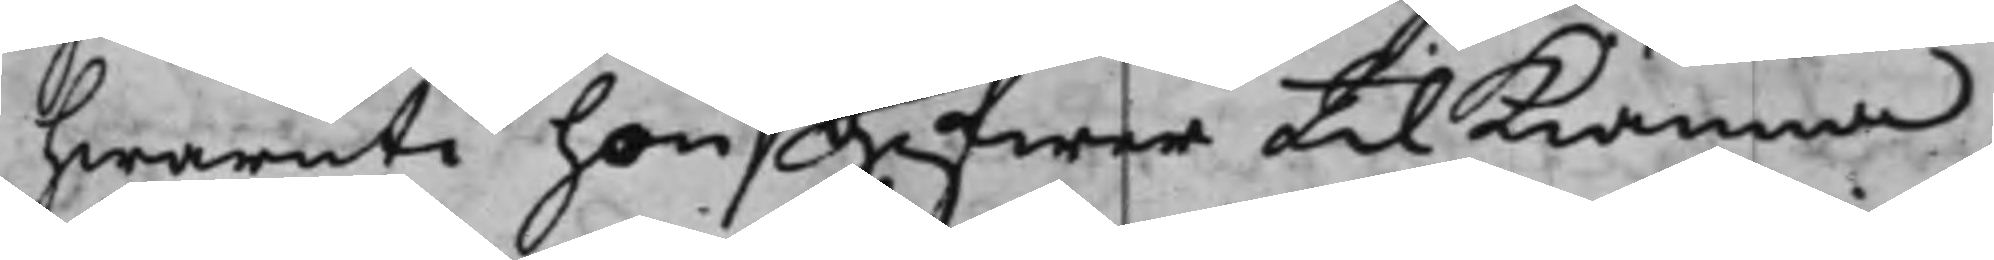hwaruti hon gifwer til Kiänna
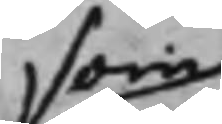an
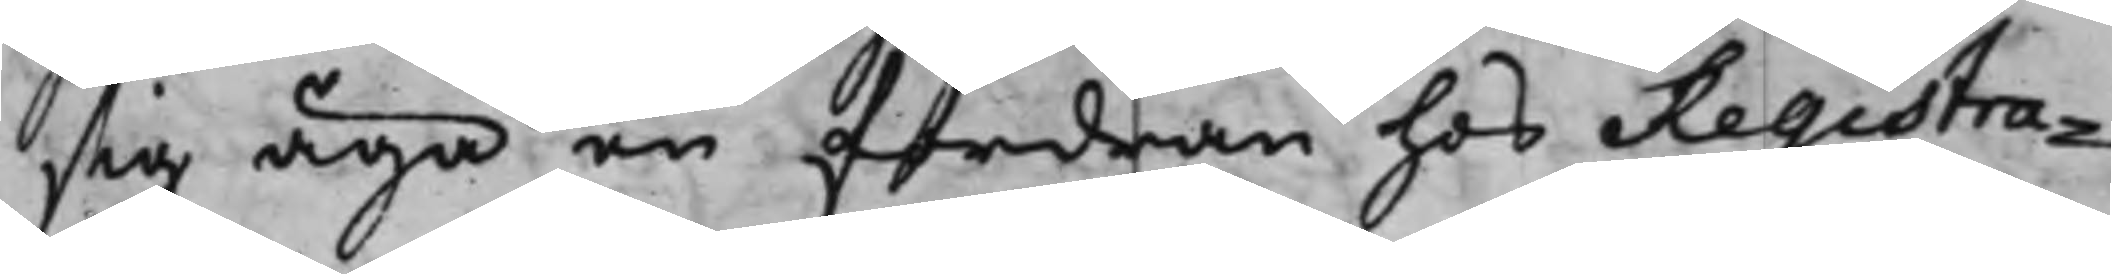sig äga en fordran hos Registra¬
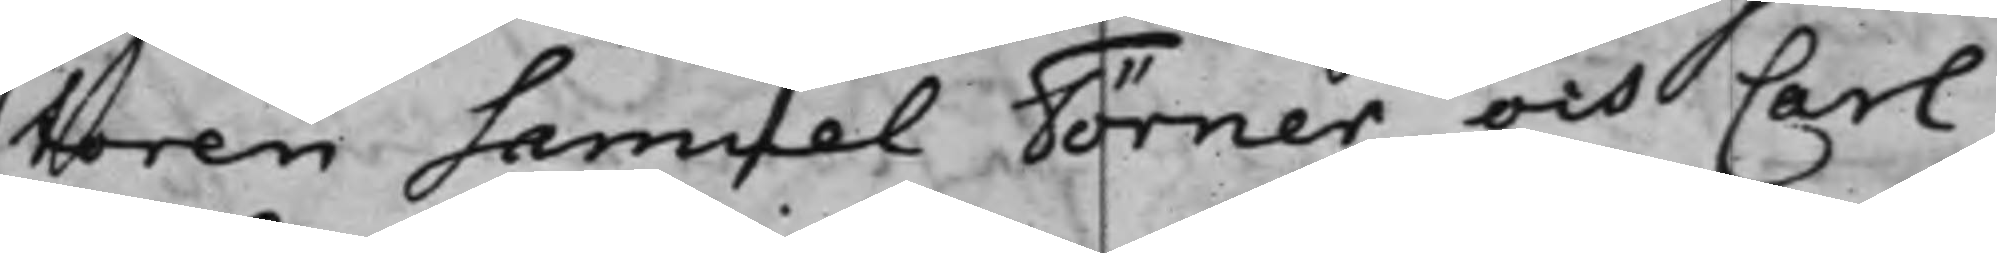toren Samuel Törner och Carl
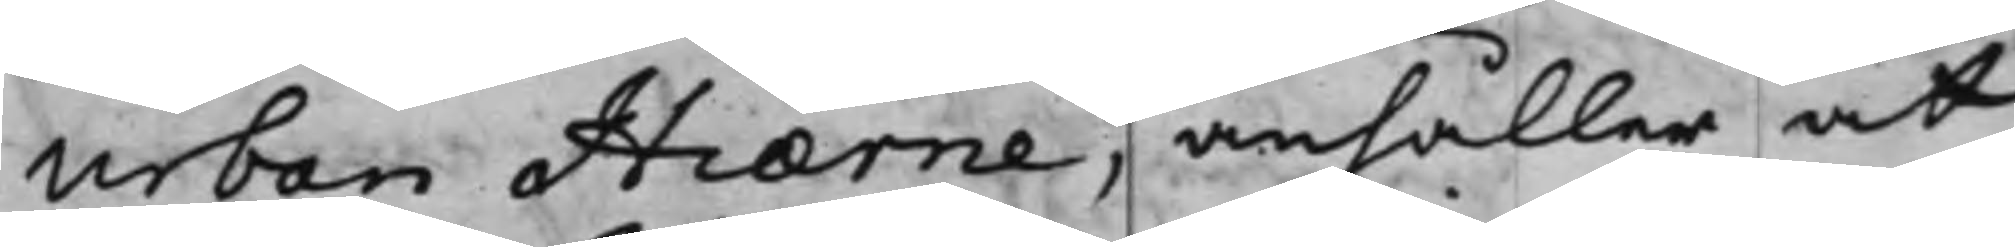Urban Hiærne, anhåller at
